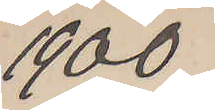1900
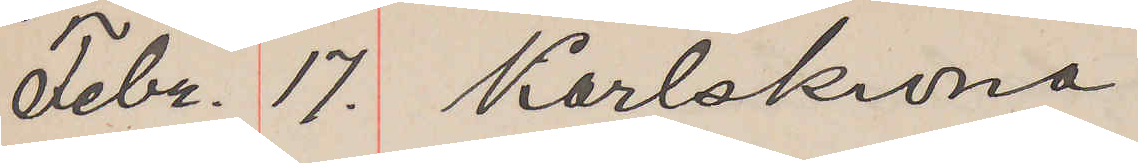Febr. 17. Karlskrona
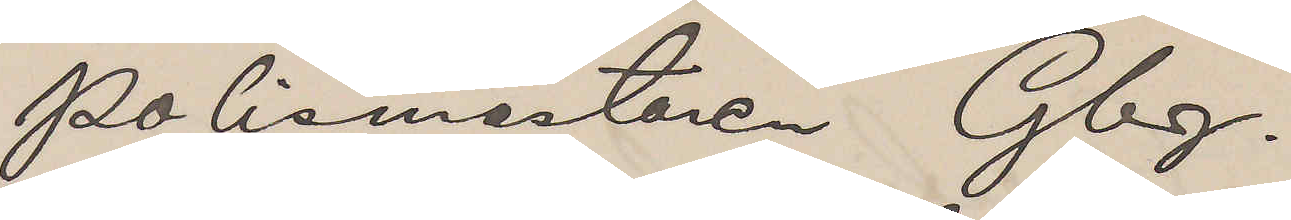Polismästaren Gbg.
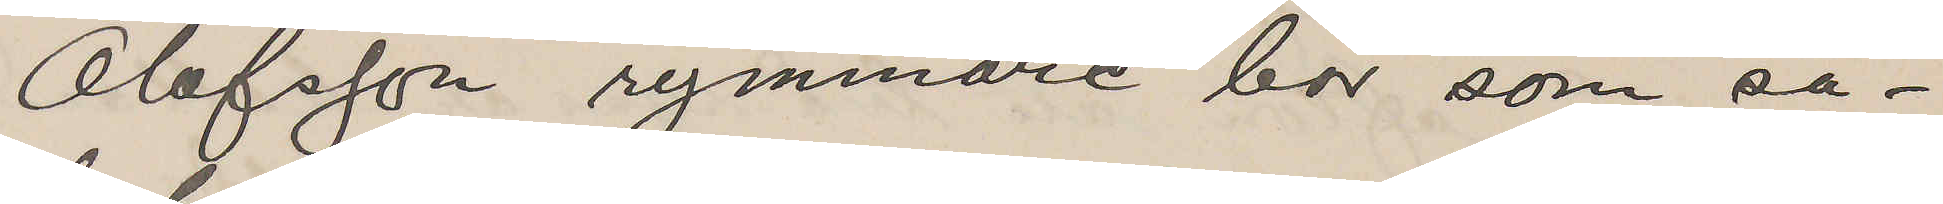Olofsson rymmare bör som så¬
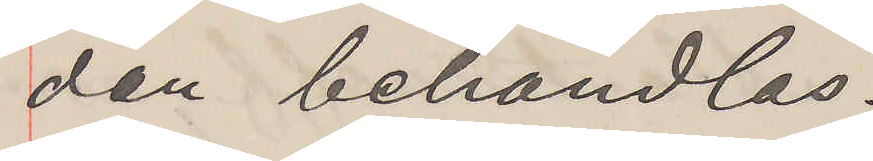dan behandlas.
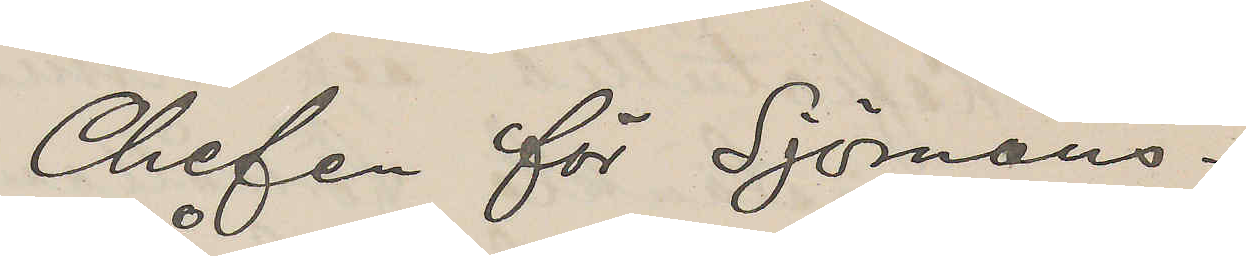Chefen för Sjömans¬
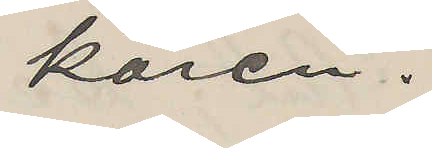kåren.
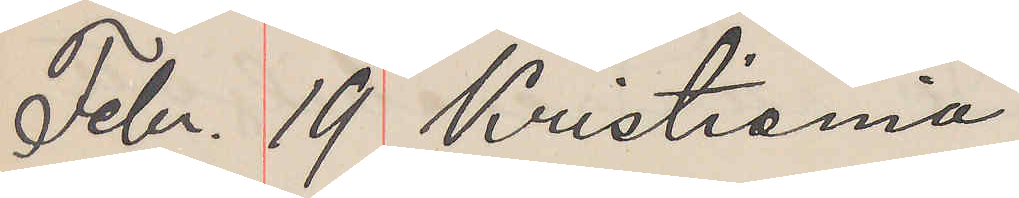Febr. 19 Kristiania
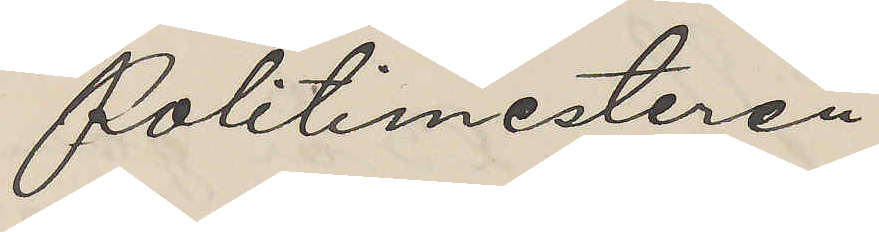Politimesteren
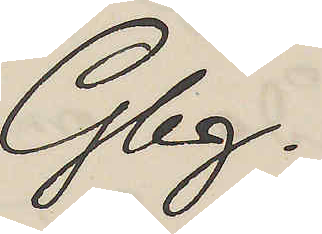Gbg.
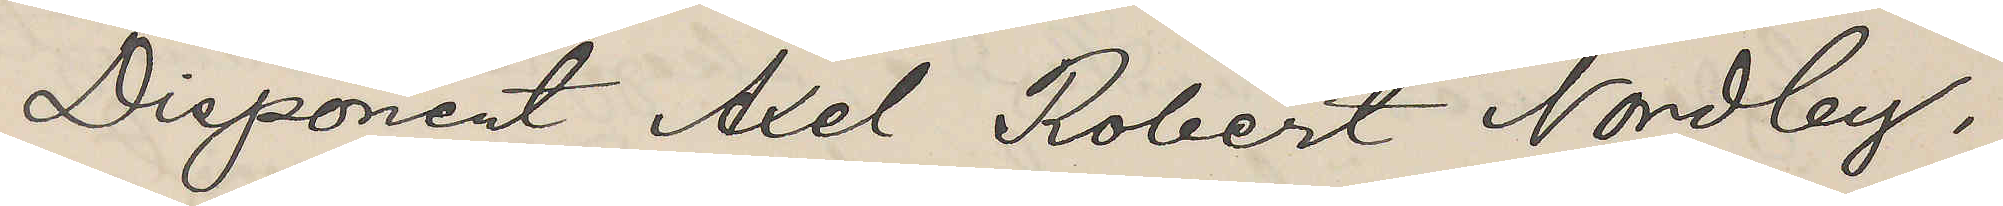Disponent Axel Robert Nordby,
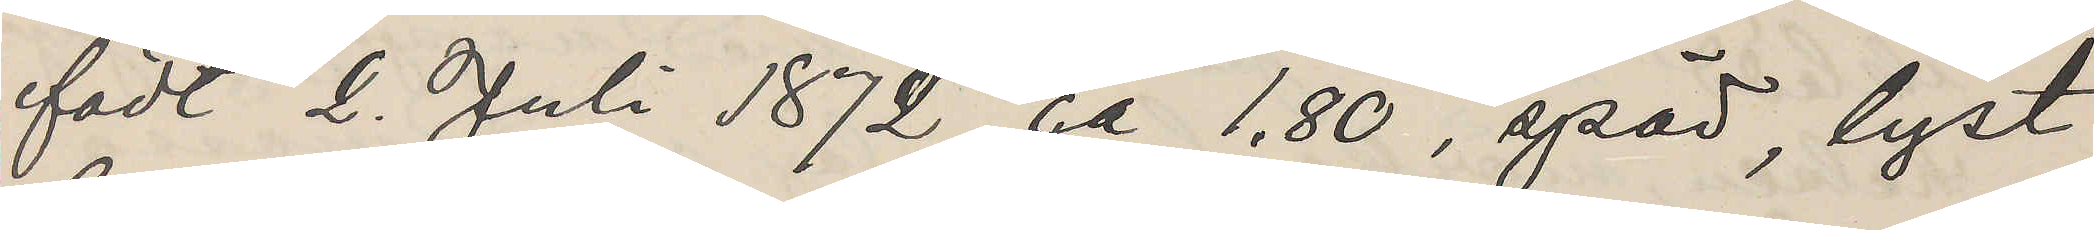födt 2. Juli 1872, ca 1,80, späd, lyst
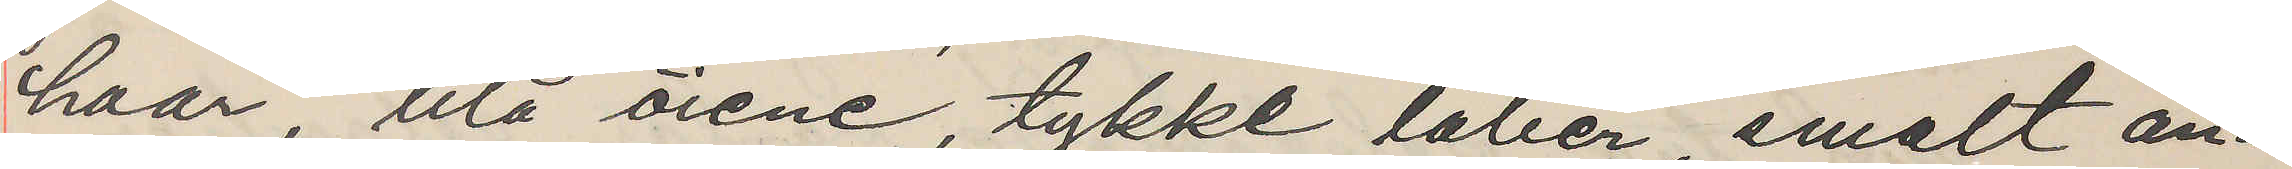haar, blå öiene, tykke låber smalt an¬
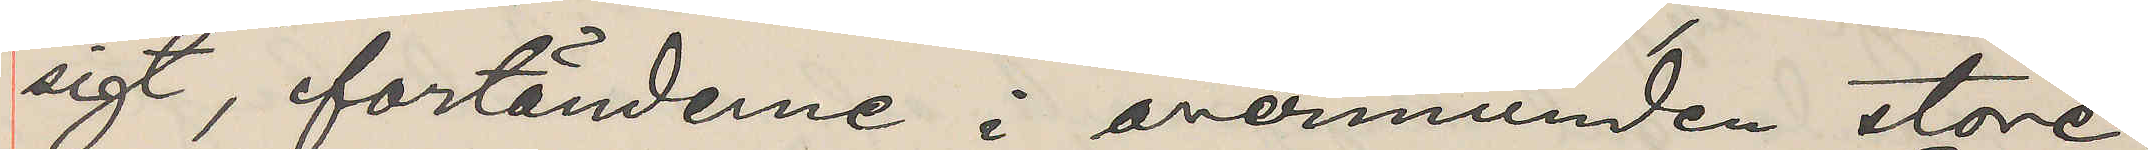sigt, fortänderne i overmunden store,
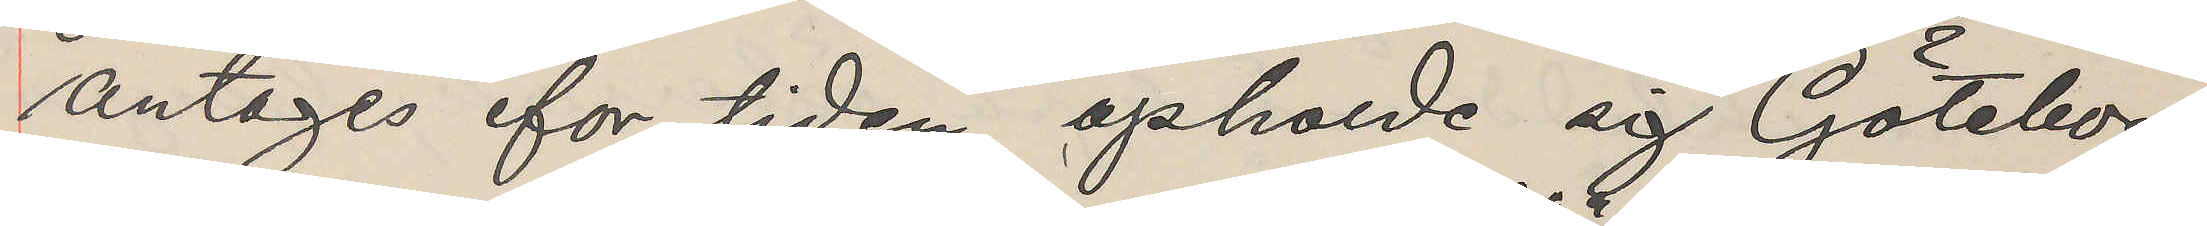antages for tiden opholde sig Göteborg
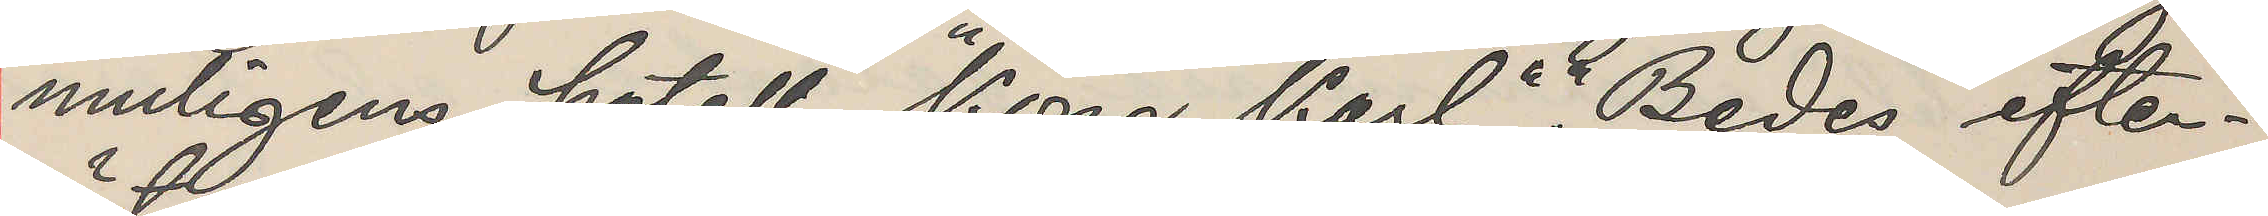muligens hotell "Kong Karl"," Bedes efter¬
